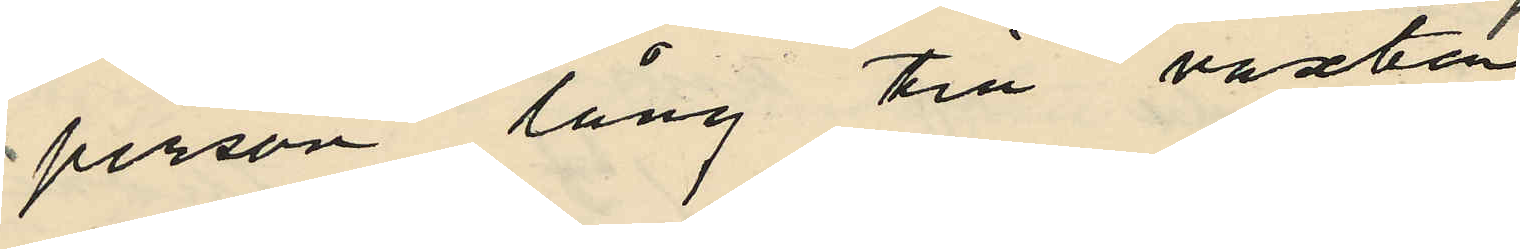person lång till växten
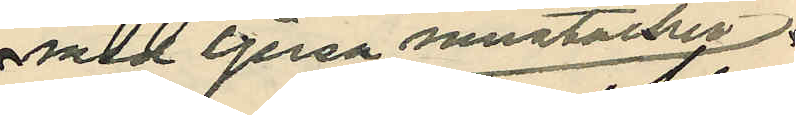med ljusa mustacher
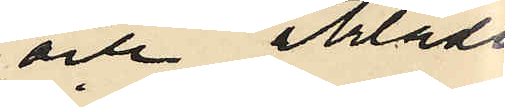och klädd
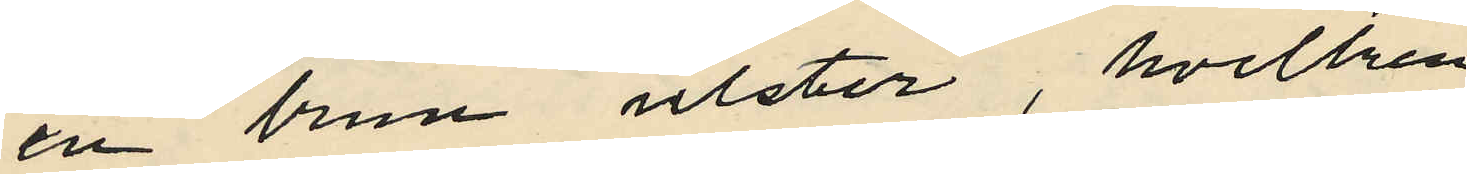en brun ulster, hvilken
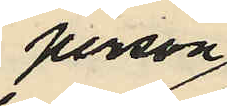person
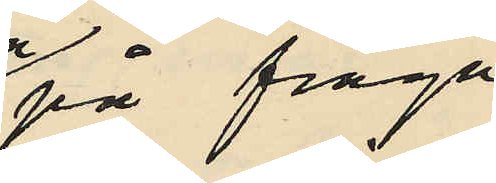på fråga
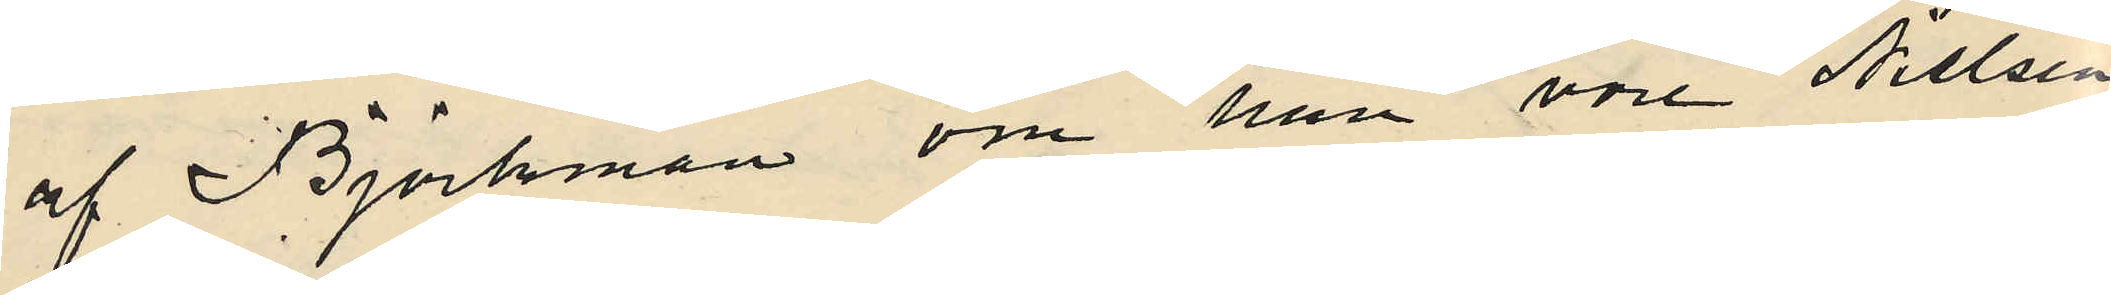af Björkman om han vore Nielsen
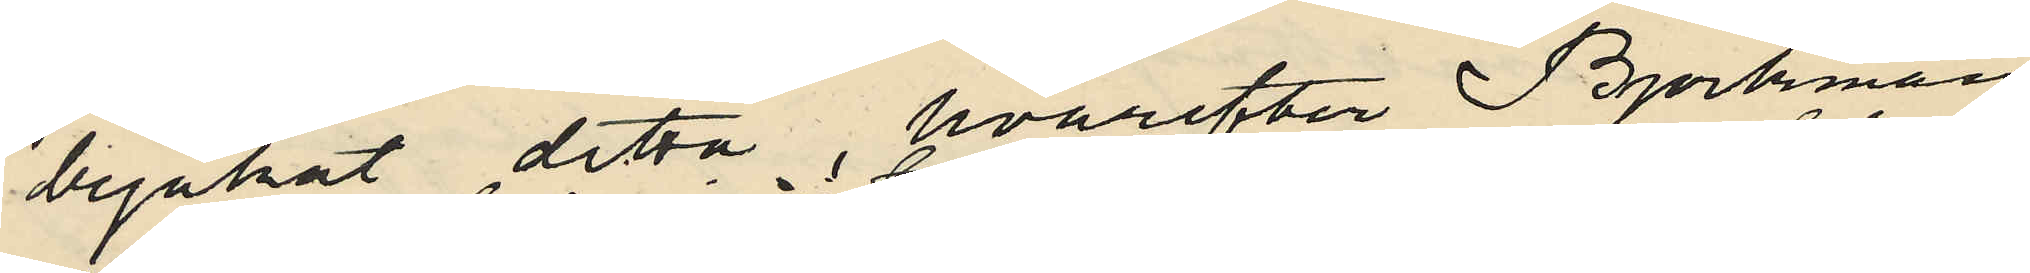bejakat detta, hvarefter Björkman
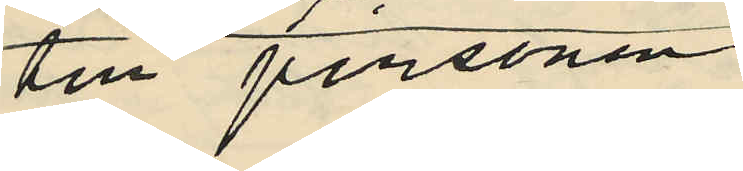till personen
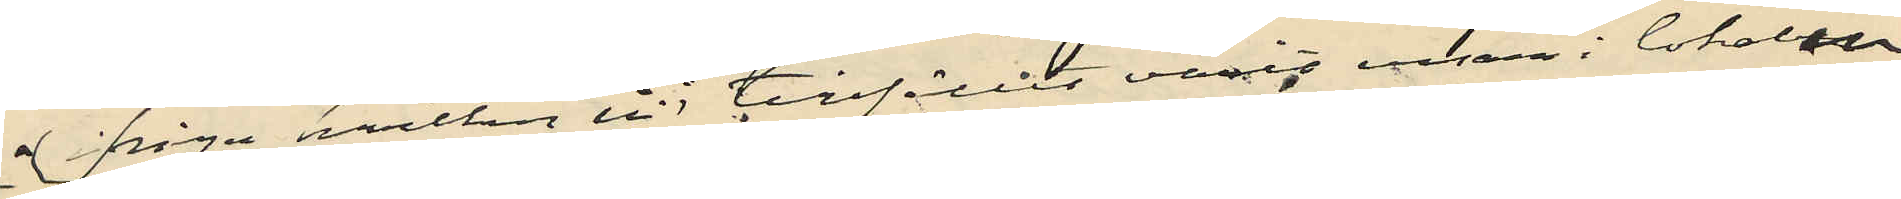ifråga, hvilken vid tillfället varit ensam i lokalen
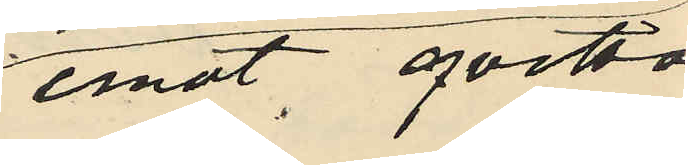emot qvitto
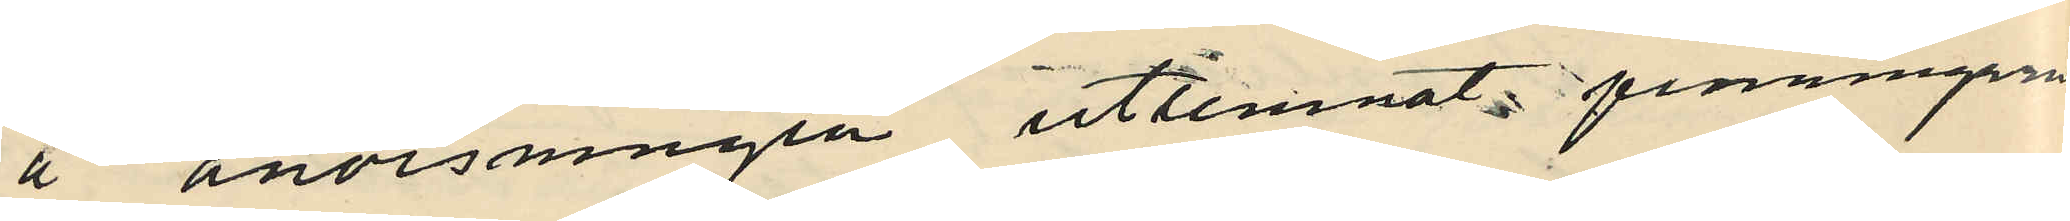å anvisningen utlemnat penningarne
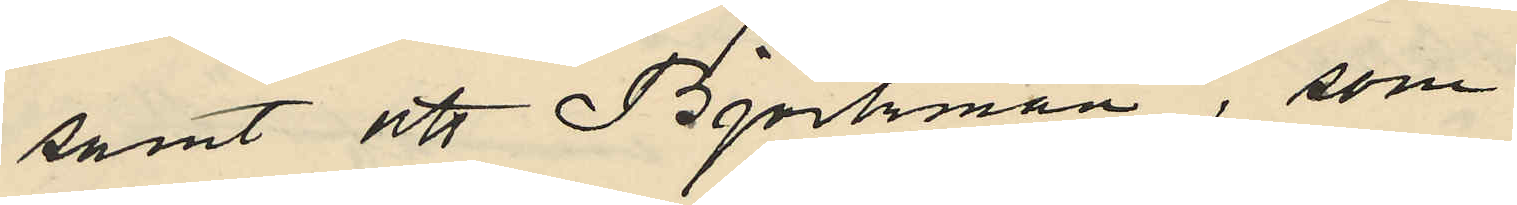samt att Björkman, som
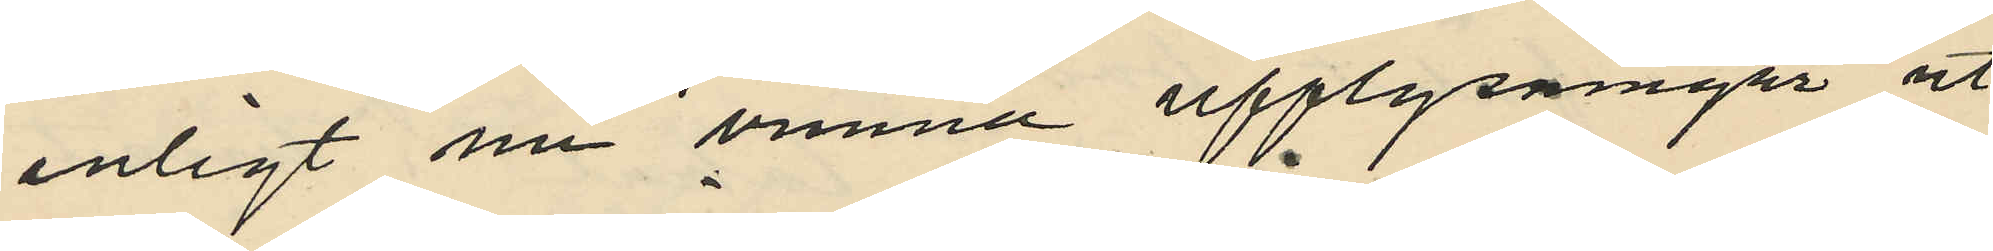enligt nu vunna upplysningar ut¬
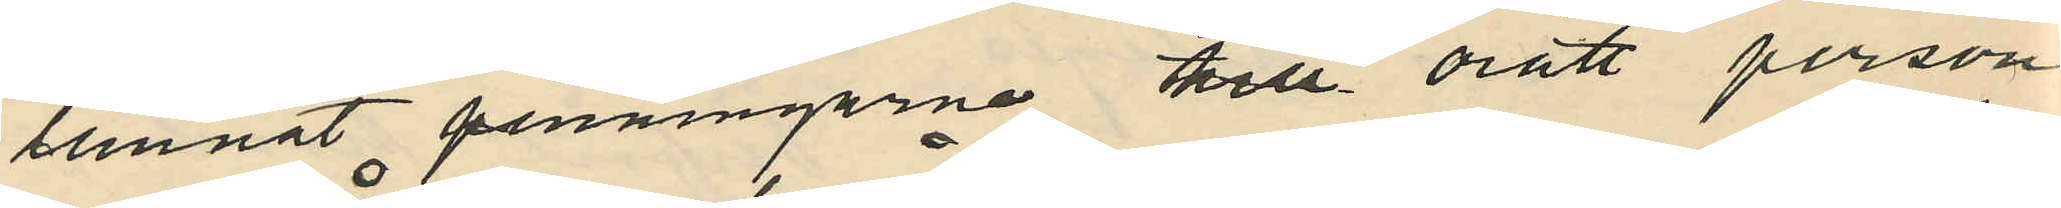lemnat penningarne till orätt person
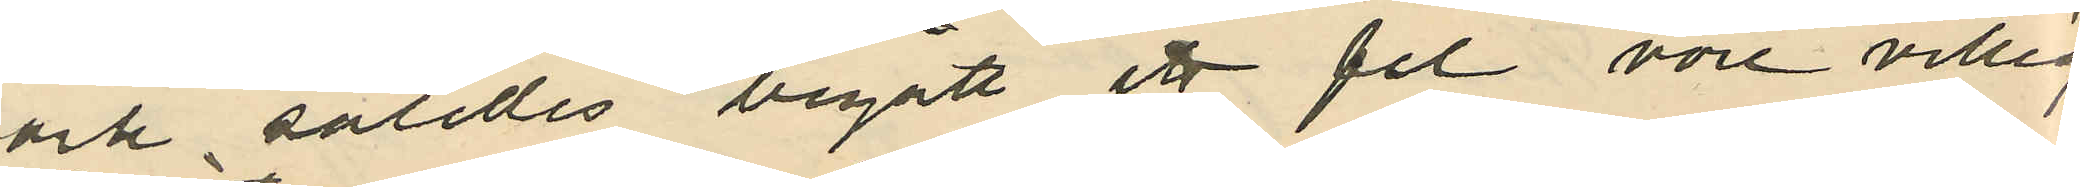och således begått ett fel vore villig
